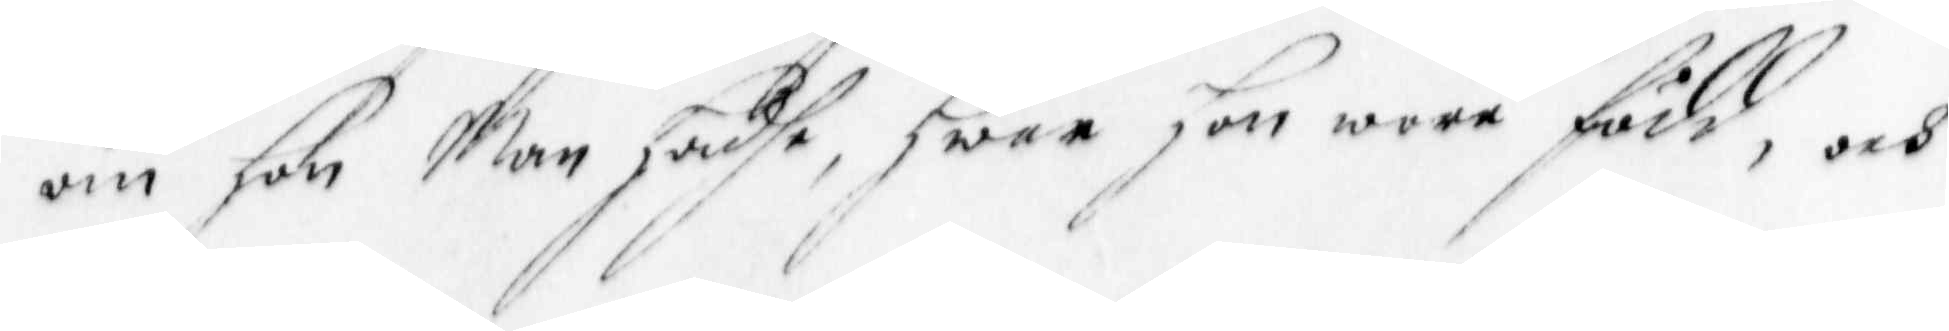om hon Man Hadhe, Hwar Hon wore född, och 
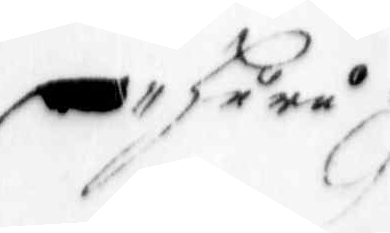Huru
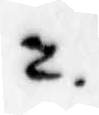2.
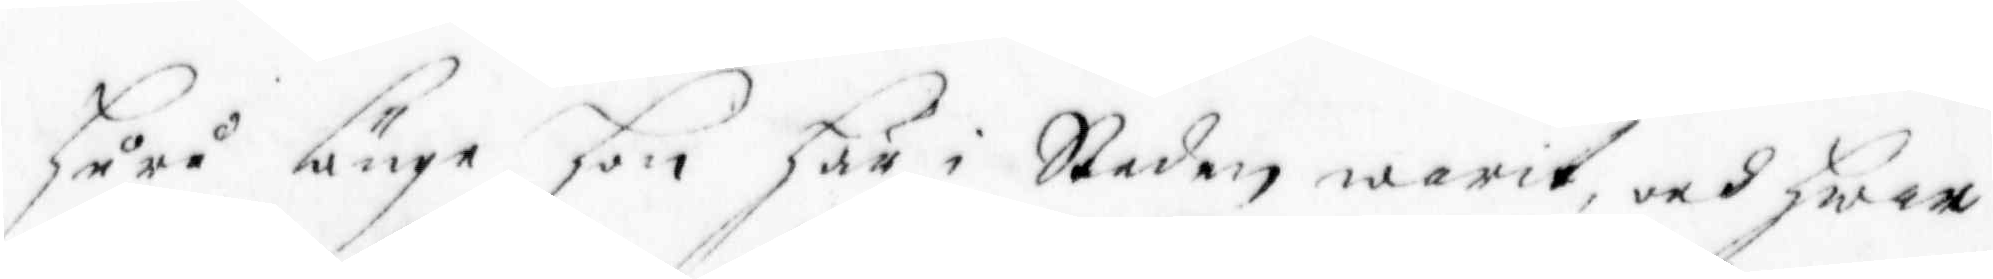Huru länge hon Här i Staden warit, och Hwar
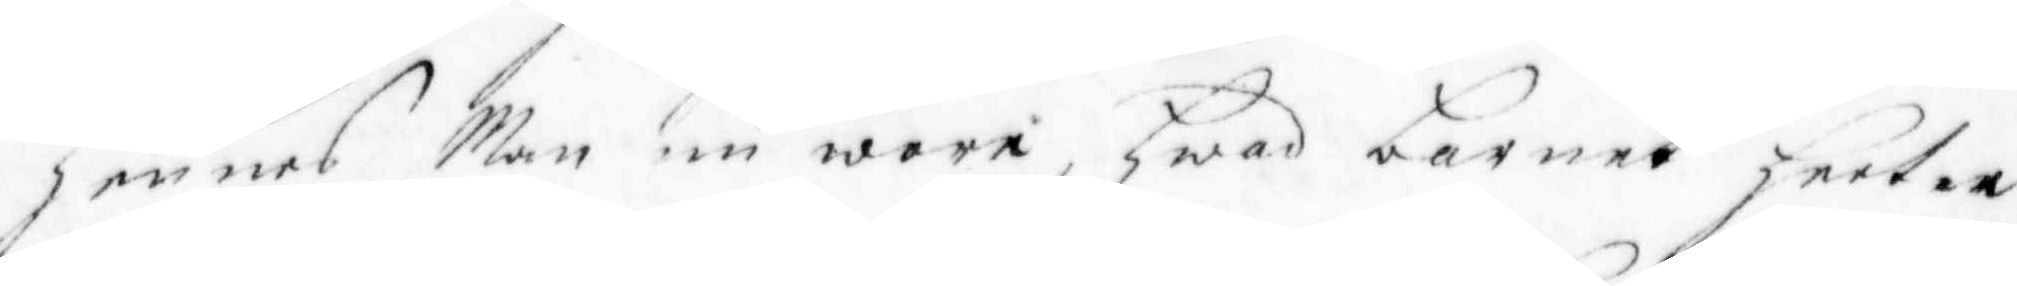Hennes Man nu wore, Hwad barnet Heeter
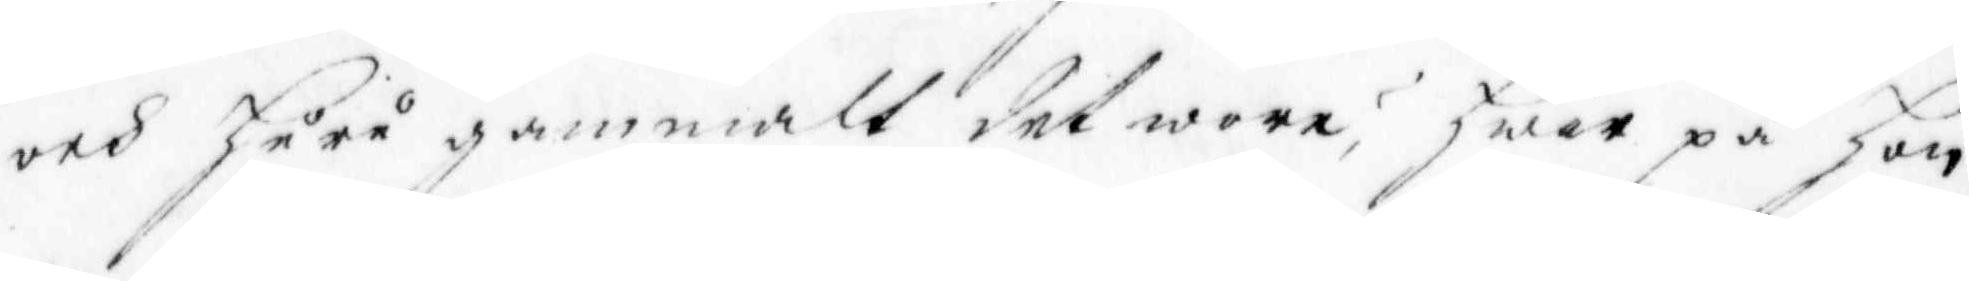och Huru gammalt det wore; Hwar på Hon
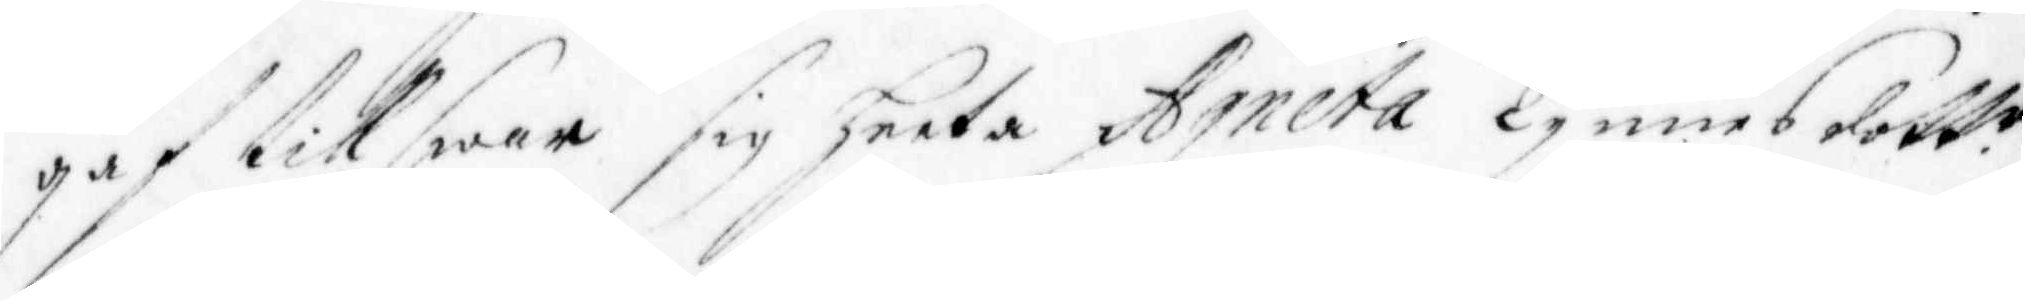gaf till Swar Sig Heeta Agneta Tynnes dott. r
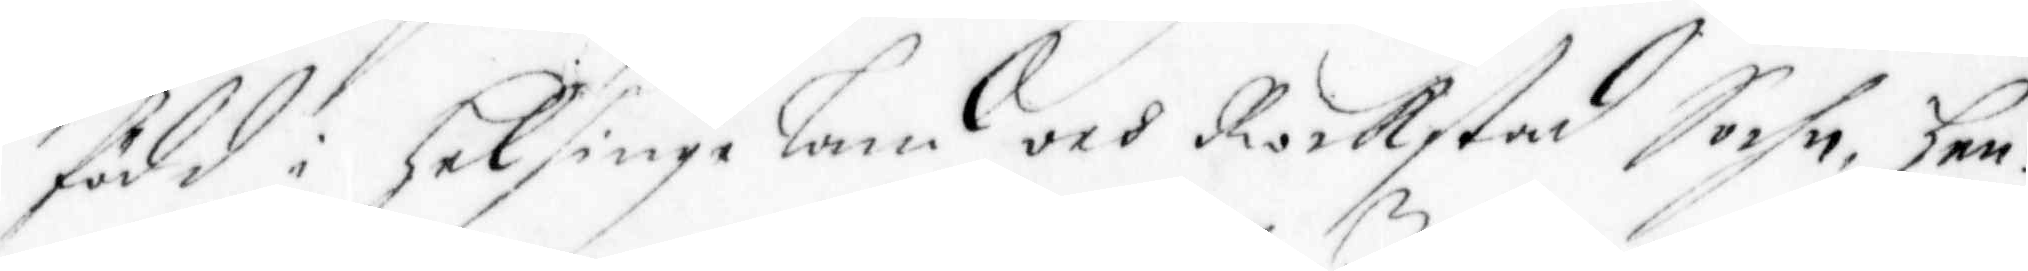född i Helsinge Land och Rockstad Sochn, Hen¬
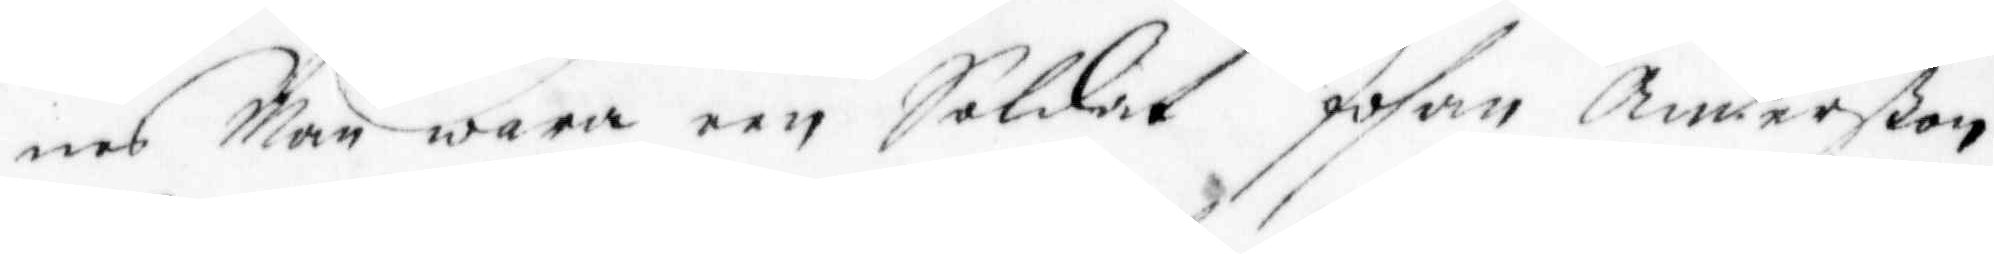nes Man wara een Soldat Johan Anderßon
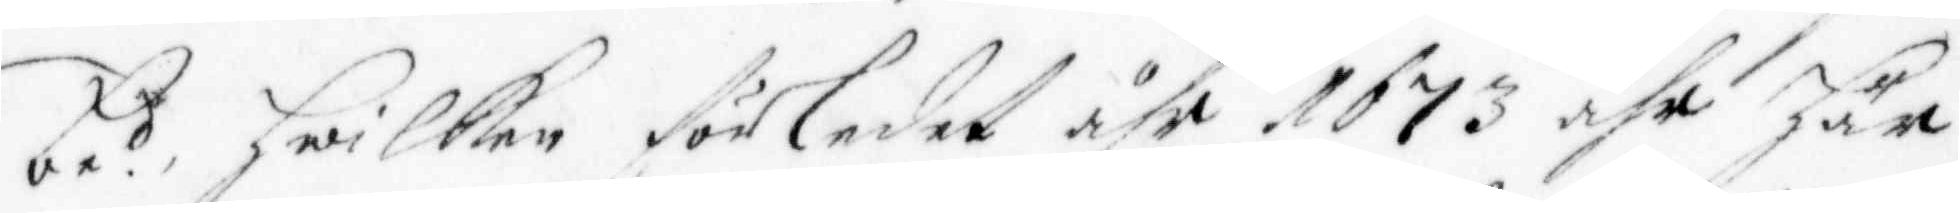be.d, Hwilken förledet åhr 1673 ähr Här
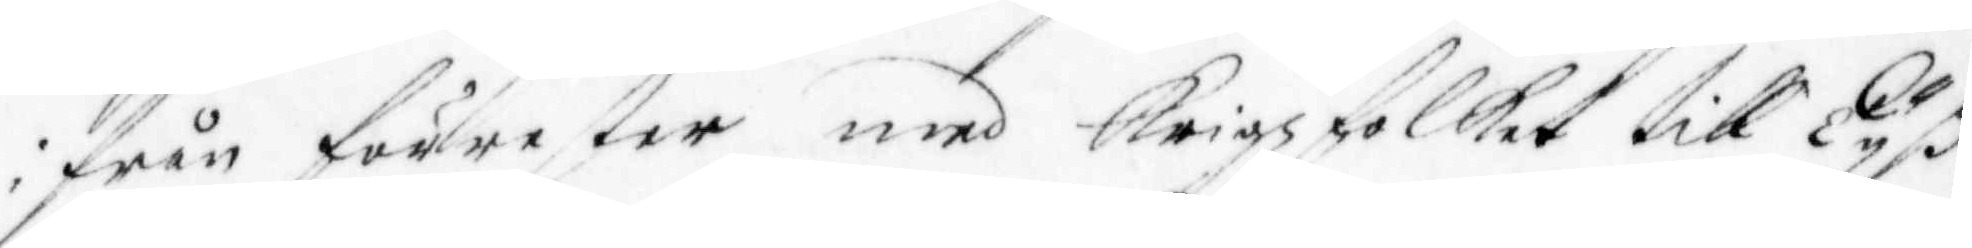ifrån förrester med krigsfolket till Ryß¬
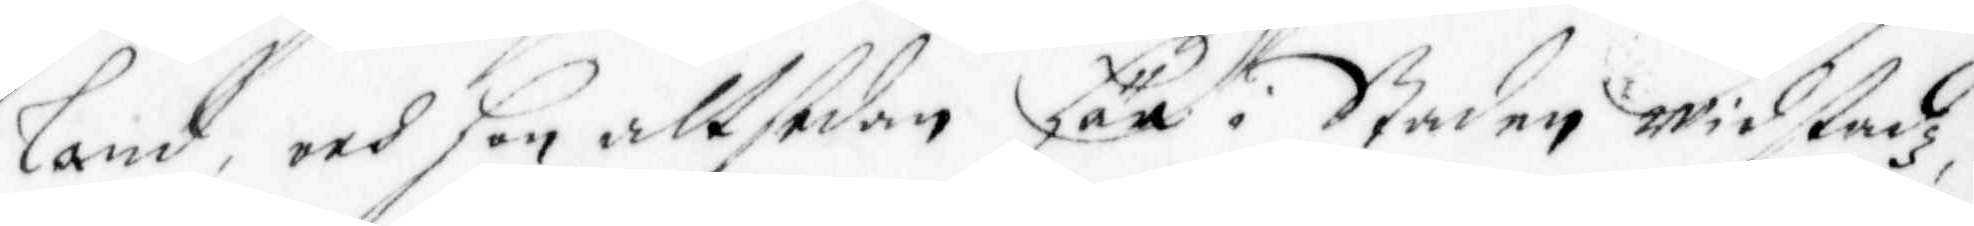land, och Hon altsedan Här i Staden widstadz,
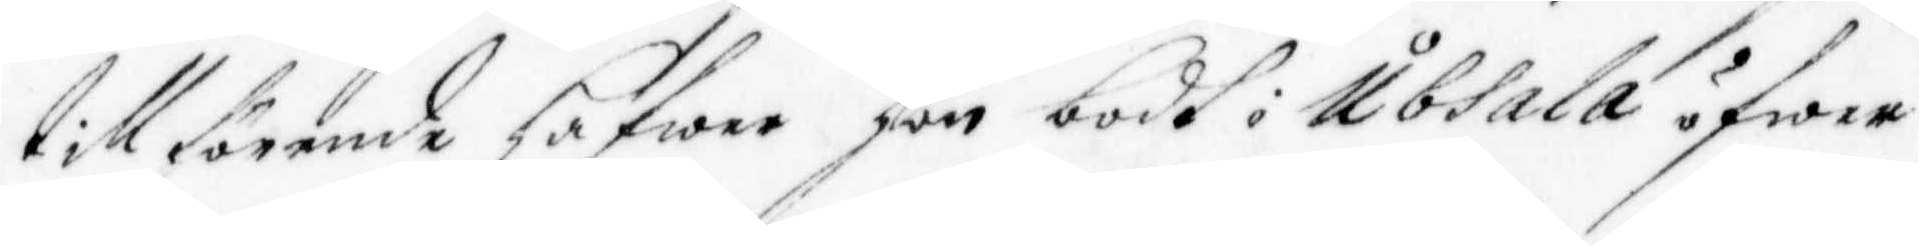till förende Hafwer Hon bodt i Ubsala öfwer
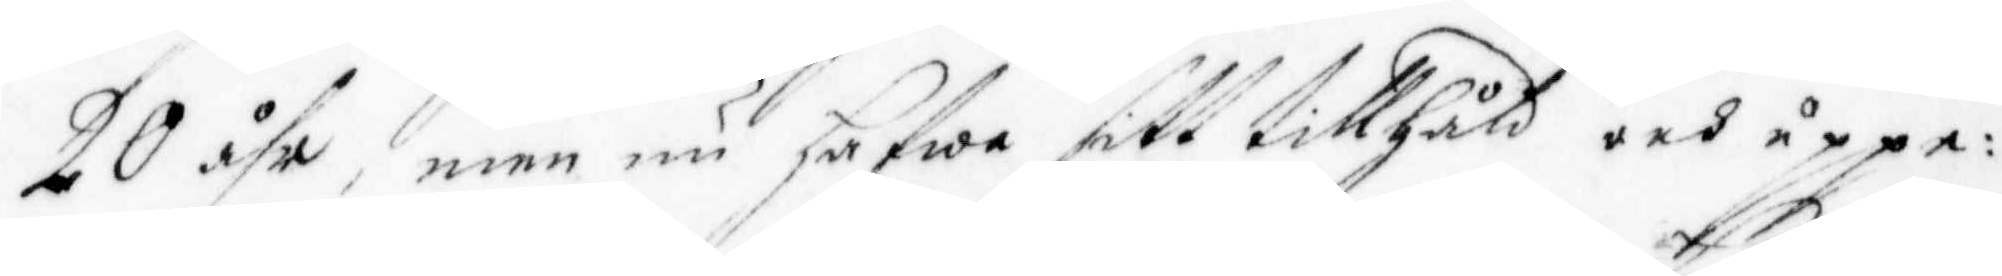20 åhr, men nu Hafwa sitt tillhåld och uppe¬
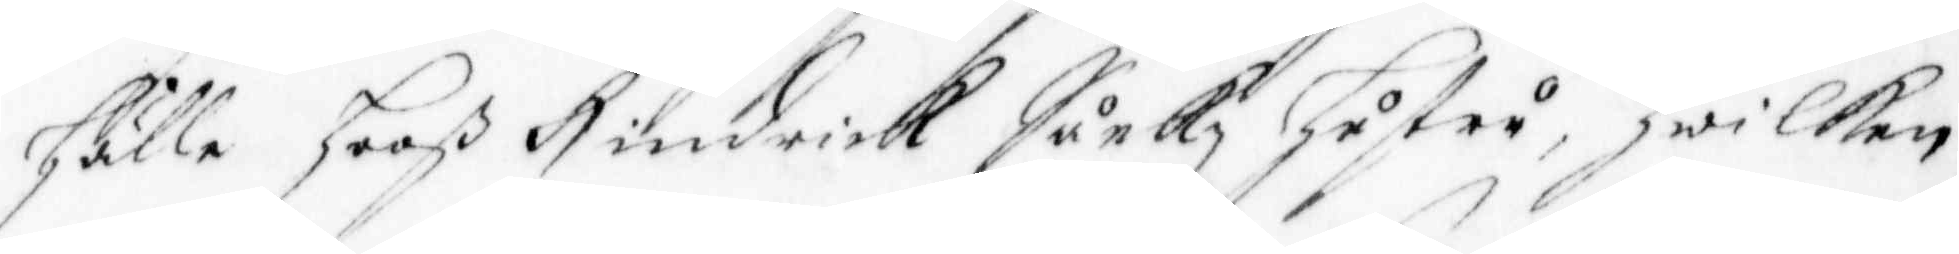Hälle Hooß Hindrick Sunkz hustru, Hwilken
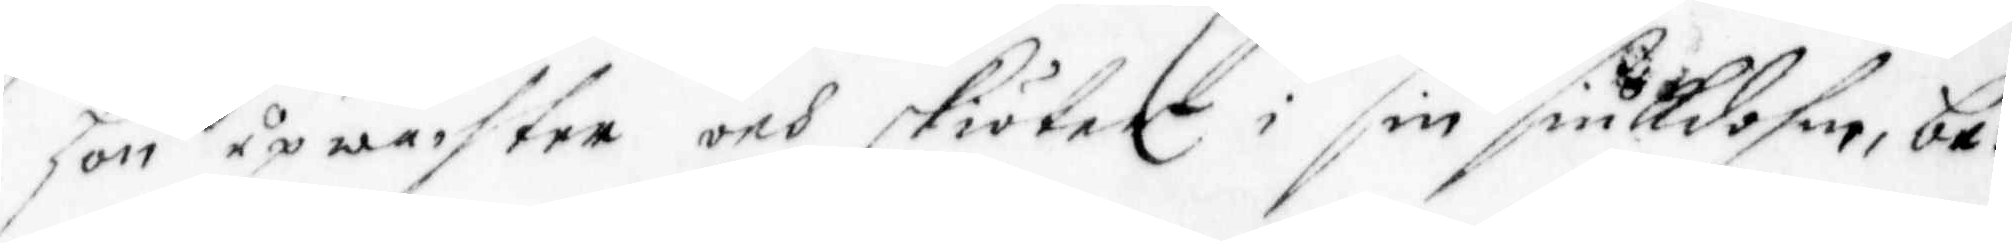Hon up wachter och skiöter i sin siukdohm, be¬
